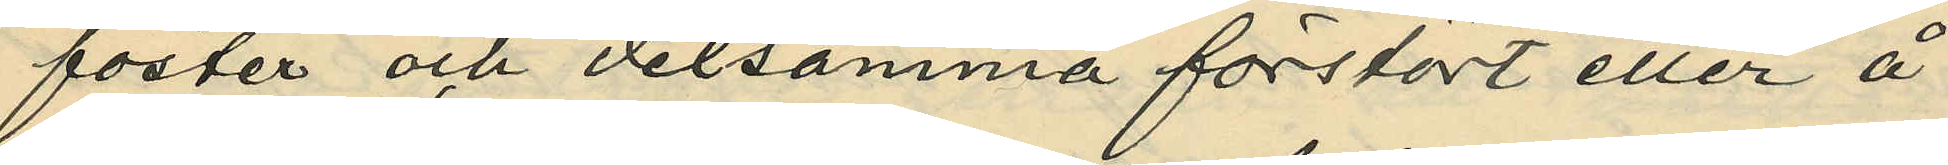foster och detsamma förstört eller å
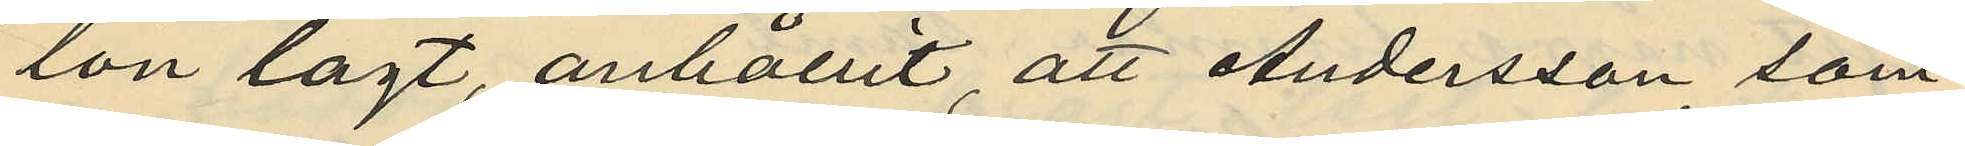lön lagt, anhållit att Andersson, som
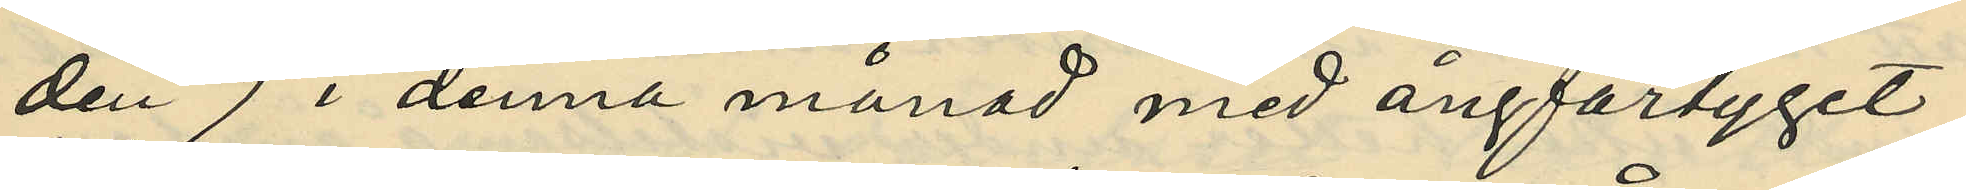den 7 i denna månad med ångfartyget
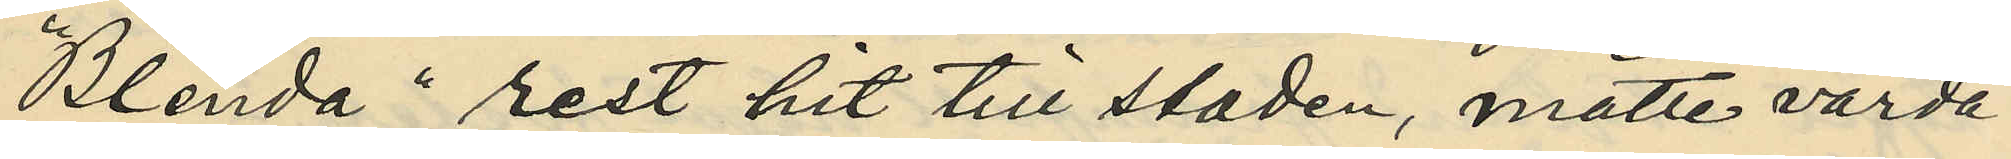"Blenda" rest hit till staden, måtte varda
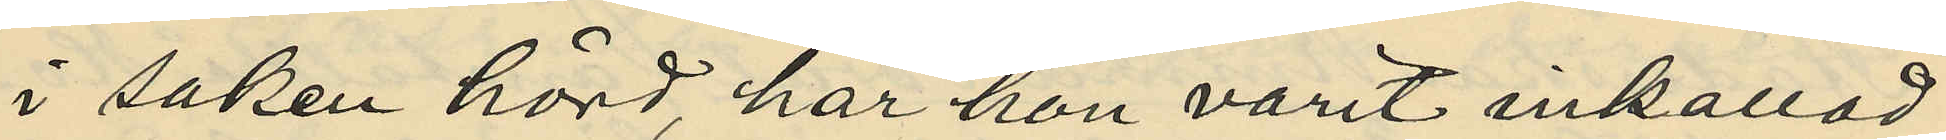i saken hörd, har hon varit inkallad
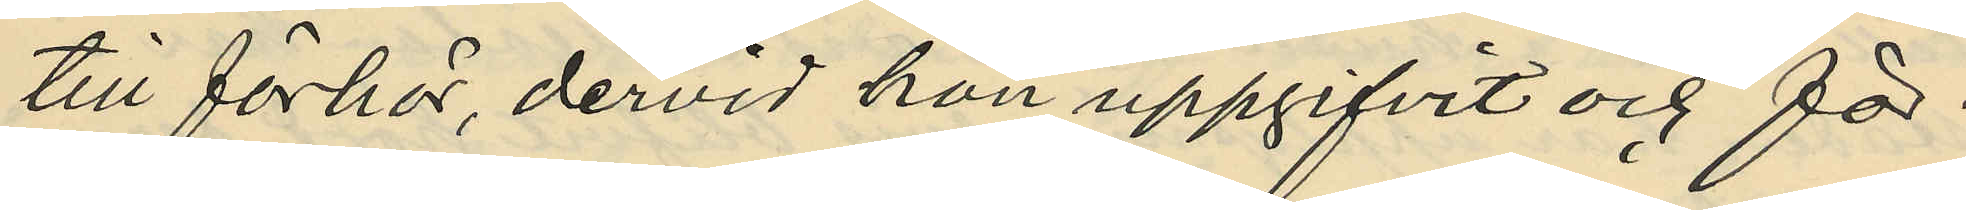till förhör, dervid hon uppgifvit och för¬
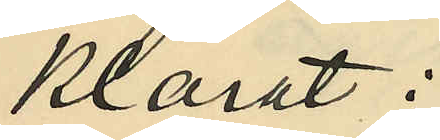klarat:
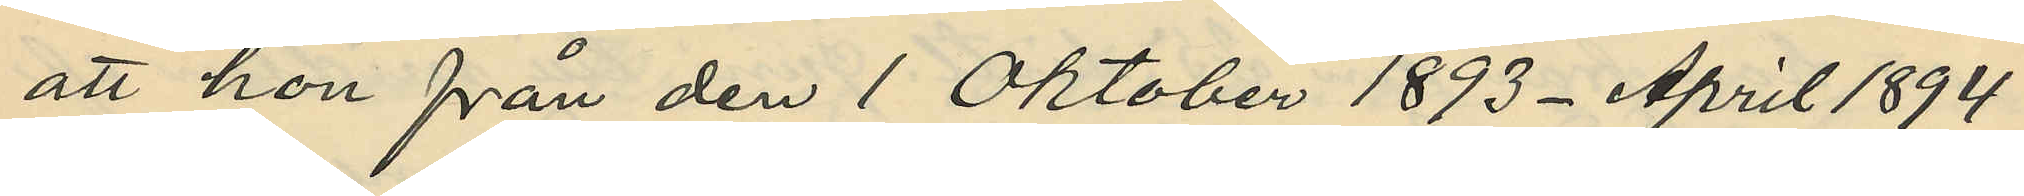att hon från den 1 Oktober 1893 - April 1894
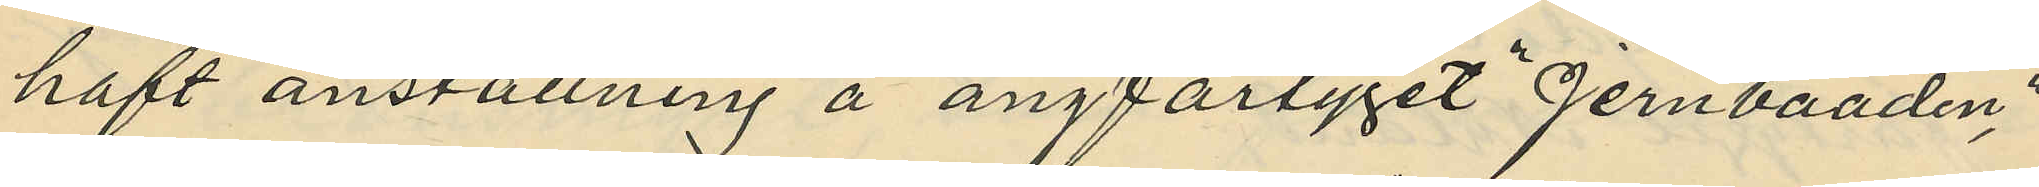haft anställning å ångfartyget "Jernbaaden"
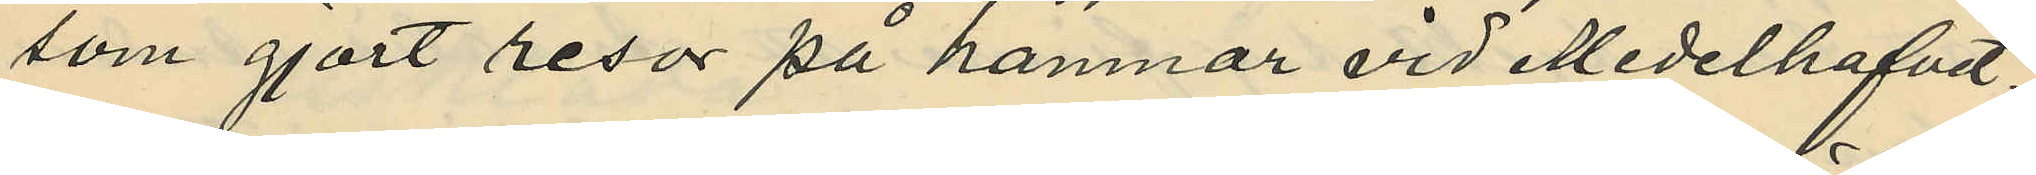som gjort resor på hamnar vid Medelhafvet;
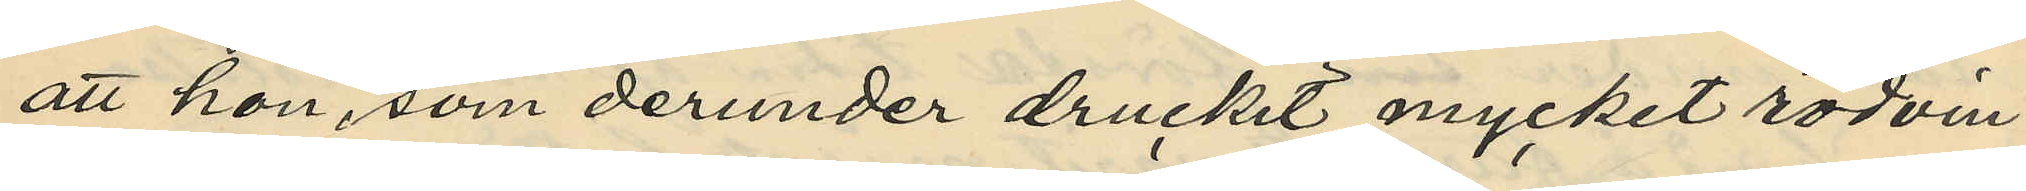att hon, som derunder druckit mycket rödvin
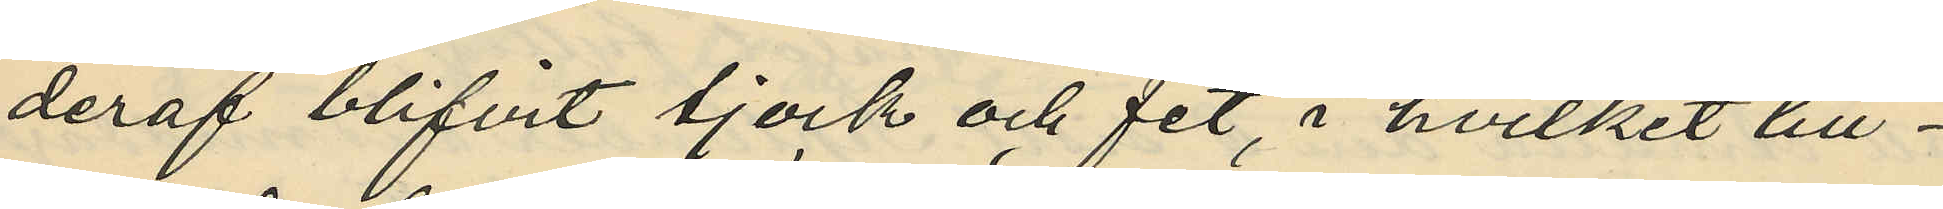deraf blifvit tjock och fet, i hvilket till¬
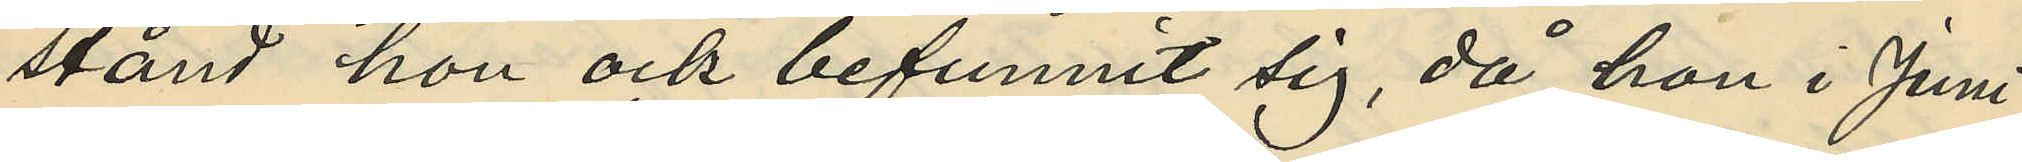stånd hon ock befunnit sig, då hon i Juni
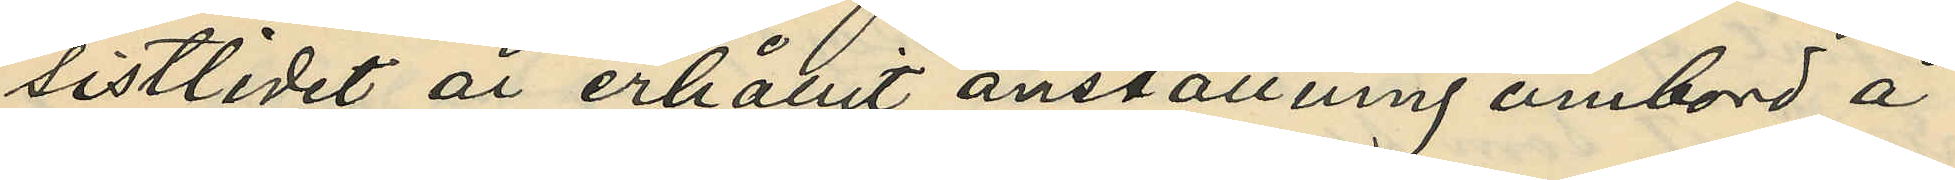sistlidet år erhållit anställning ombord å
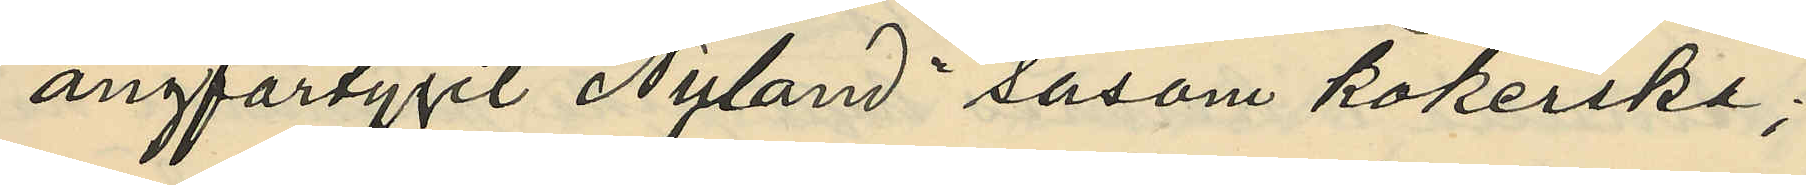ångfartyget "Nyland" såsom kokerska;
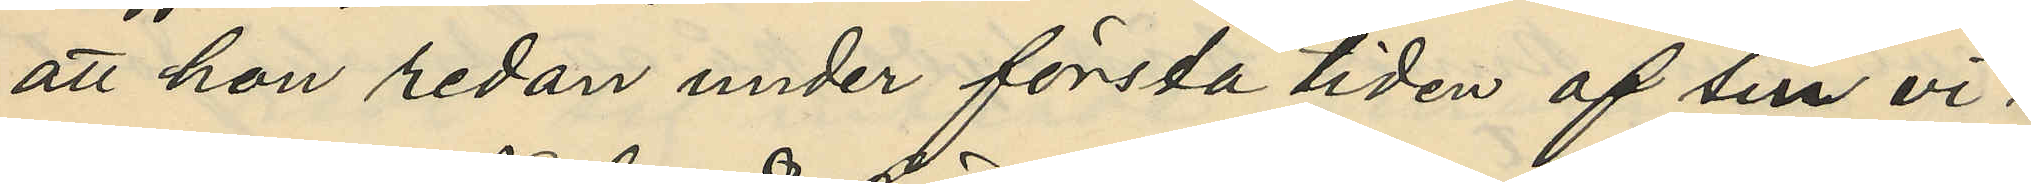att hon redan under första tiden af sin vi¬
